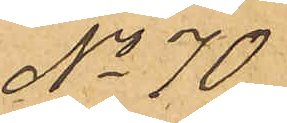No 70
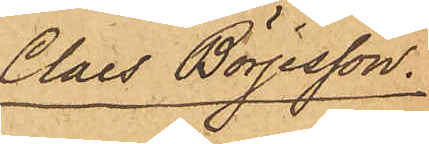Claes Börjesson.
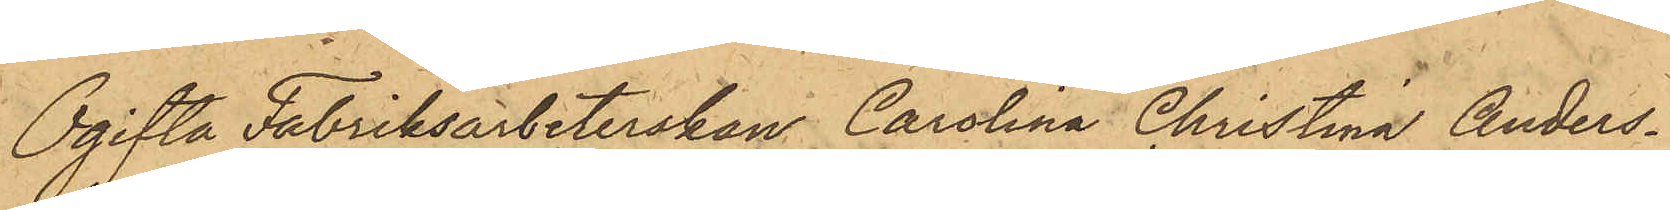Ogifta Fabriksarbeterskan Carolina Christina Anders¬
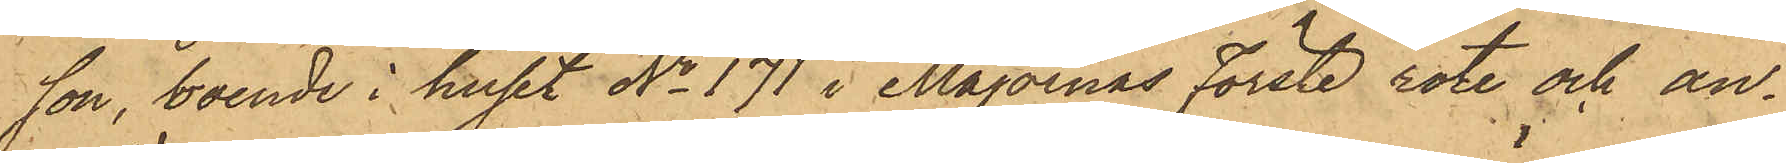son, boende i huset No 171 i Majornas förste rote och an¬
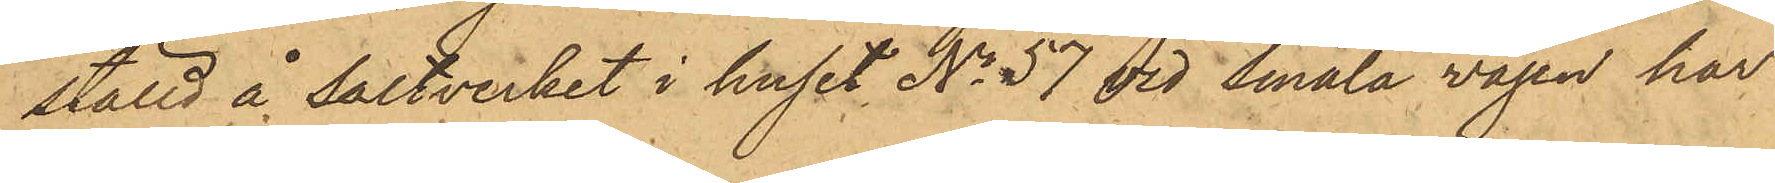ställd å saltverket i huset No 57 vid Smala vägen har
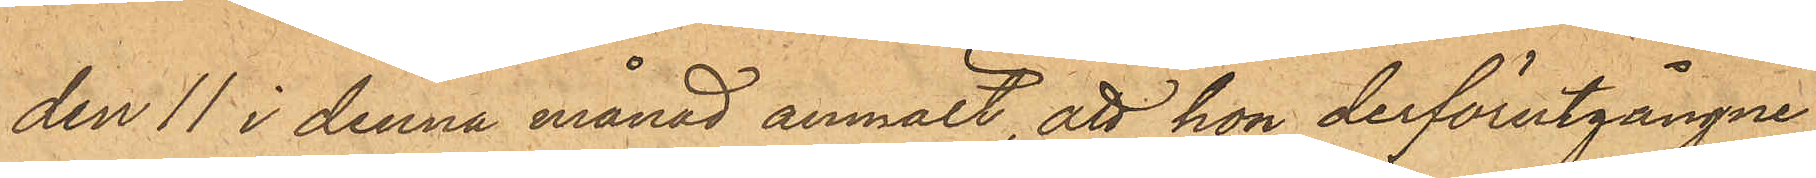den 11 i denna månad anmält, att hon derförutgångne
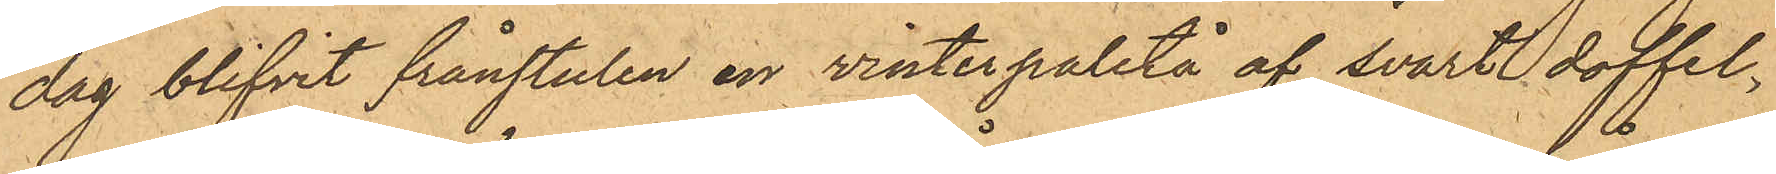dag blifvit frånstulen en vinterpaletå af svart doffel,
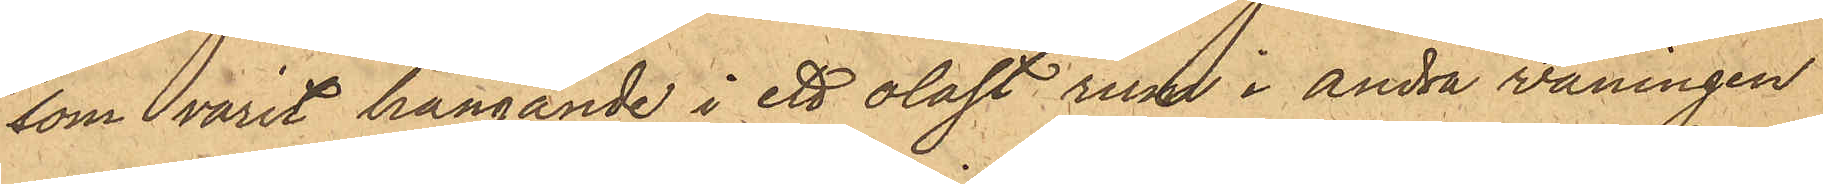som varit hängande i ett olåst rum i andra våningen
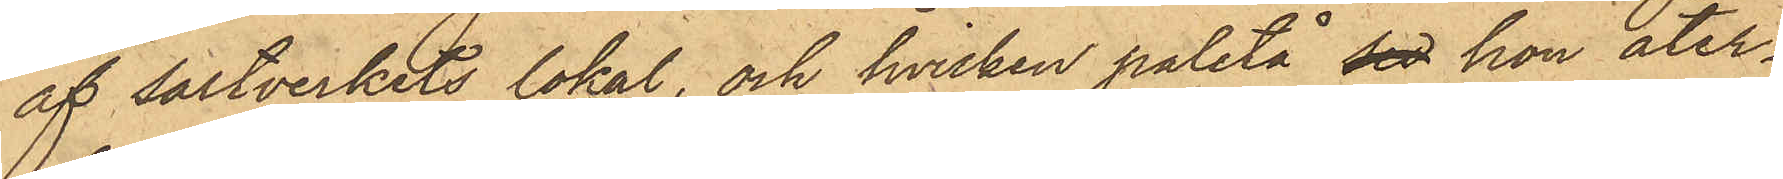af saltverkets lokal och hvilken paletå set hon åter¬
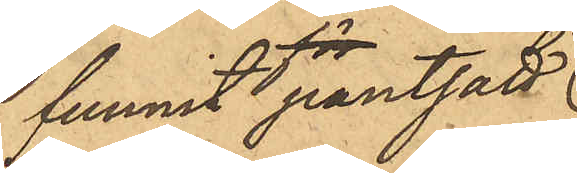funnit pantsatt
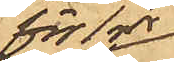för 1 rdr
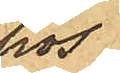hos
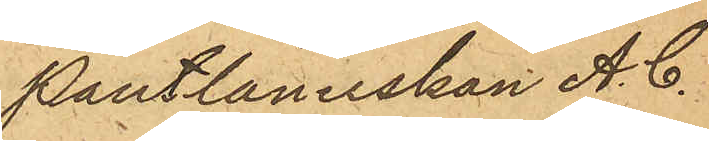Pantlånerskan A. C.
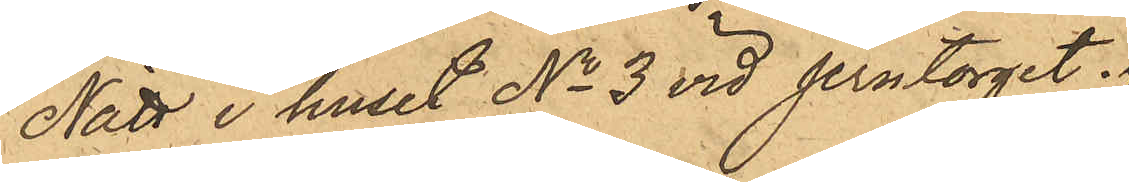Nätt i huset No 3 vid Jerntorget.
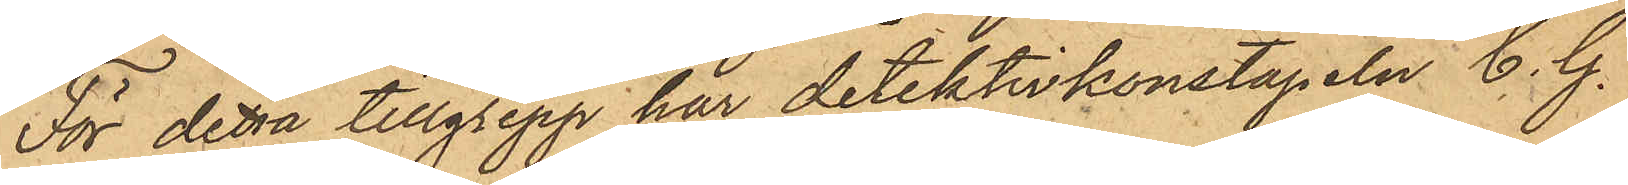För detta tillgrepp har detektivkonstapeln C. G.
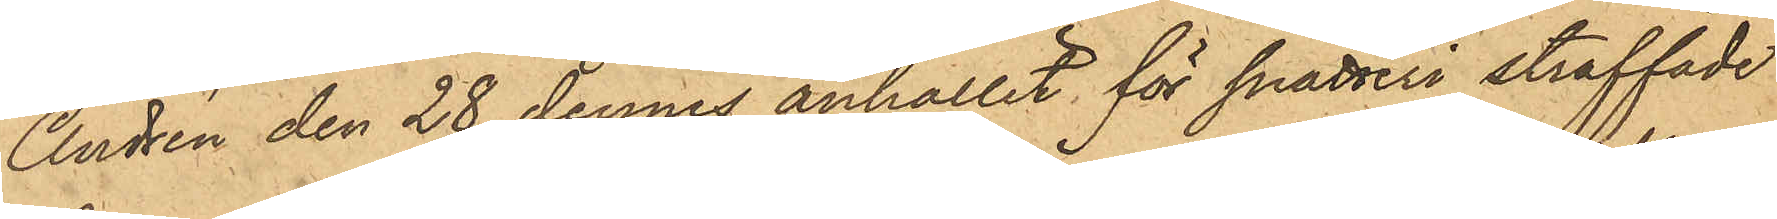Andrén den 28 dennes anhållit för snatteri straffade
